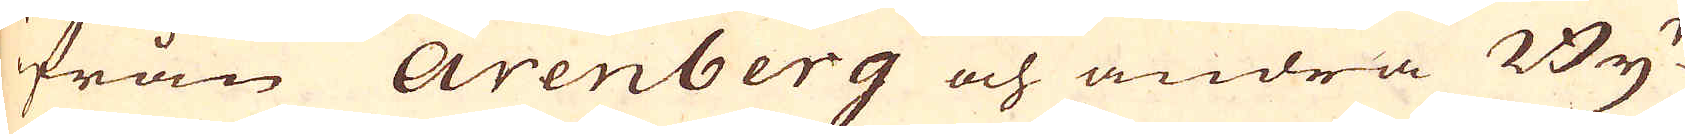från Arenberg och andra By-
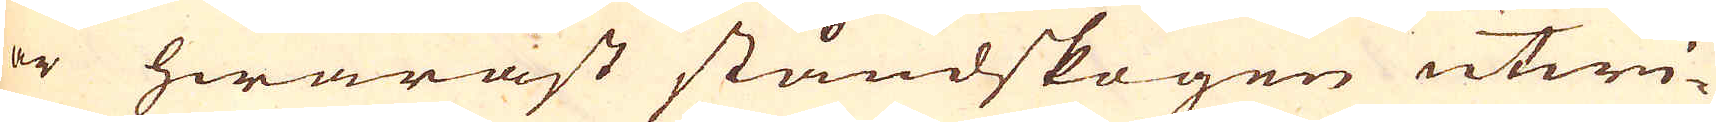er hwaräst ståndskogen utwi-
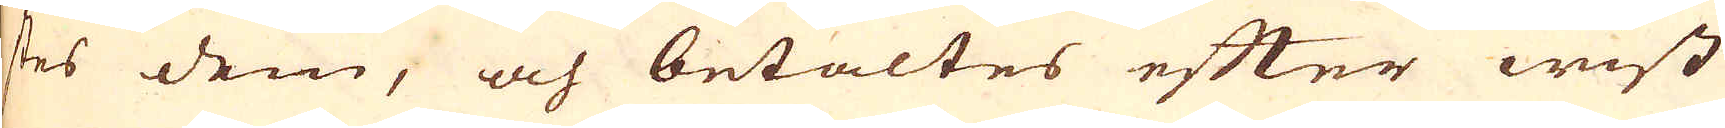ses dem, och betaltes efter wist
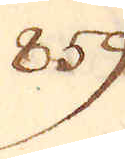859.
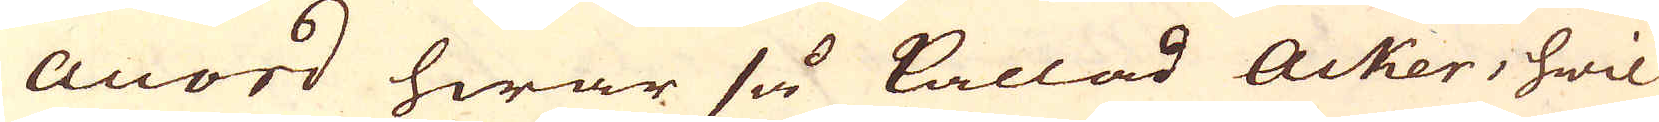Accord hwar så kallad Acker, hwil-
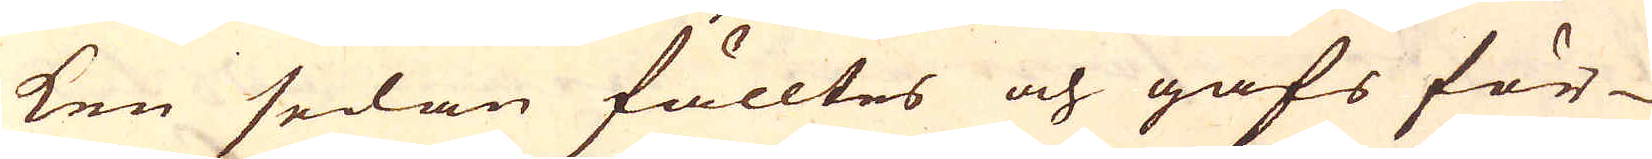ken sedan fälltes och gafs för
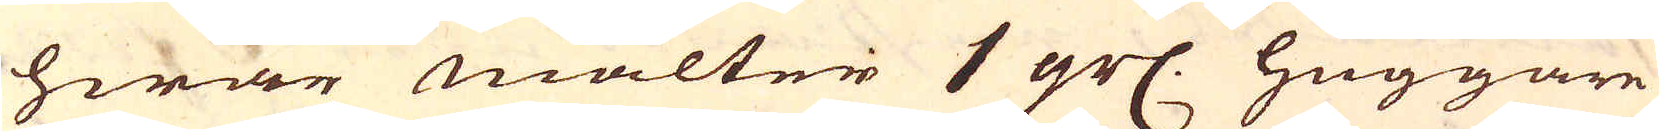hwar malter 1 gr. huggare
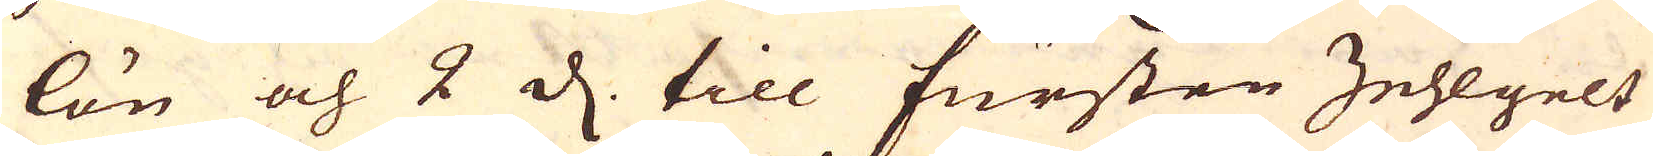lön och 2 d. till fursten Zehlgelt
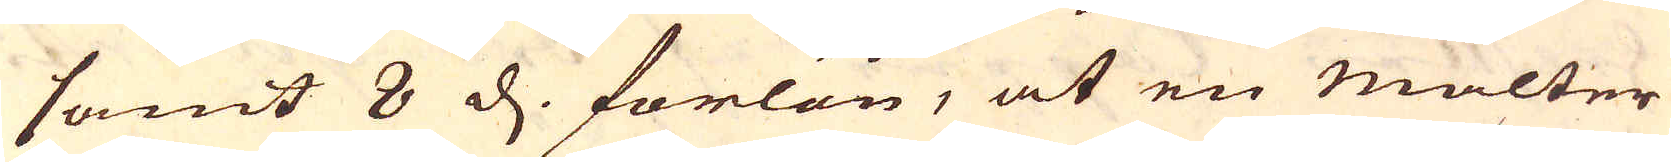samt 8 d. forlön, at en malter
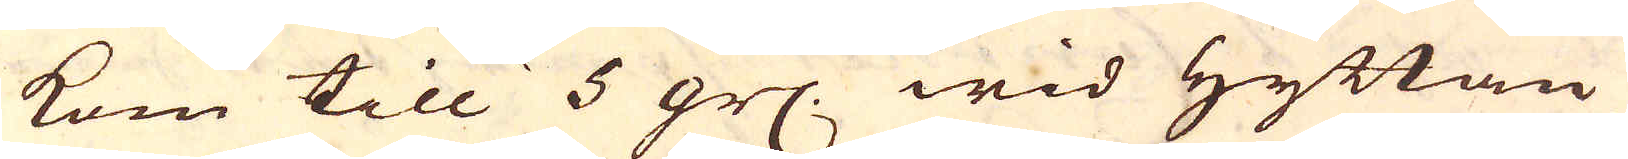kom till 5 gr. wid Hyttan
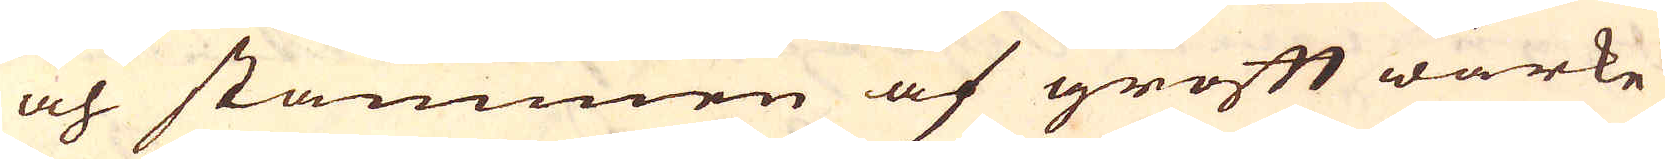och stammen af groft wärke
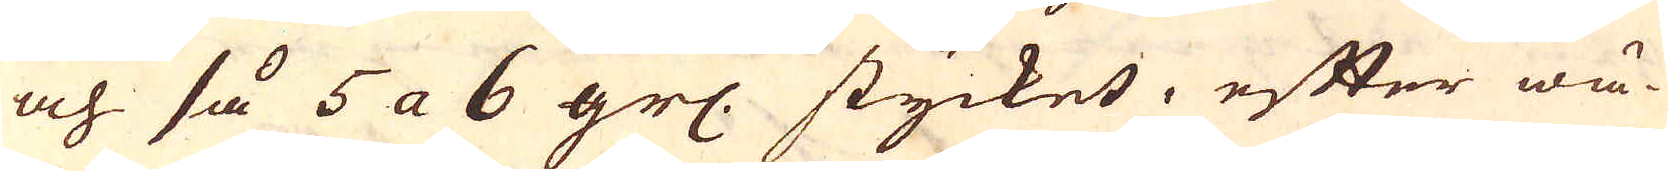och så 5 a 6 gr. stycket, efter wä-
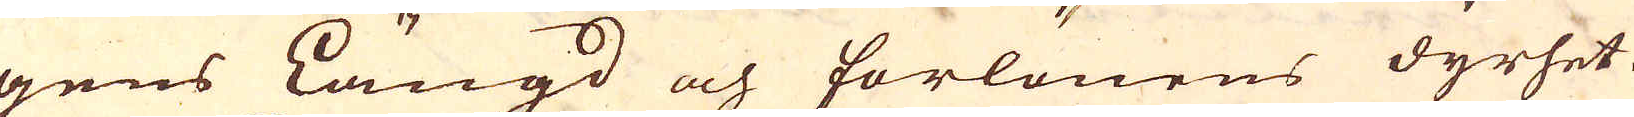gens Längd och forlönens dyrhet.
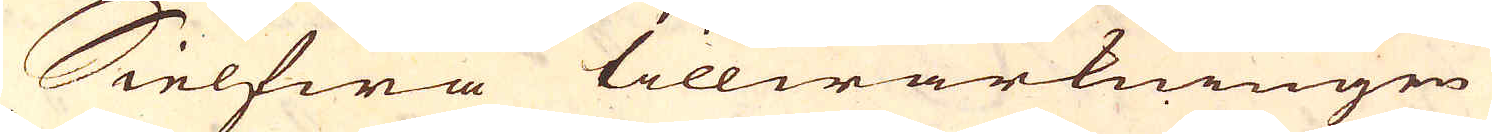Sielfwa tillwärkningen
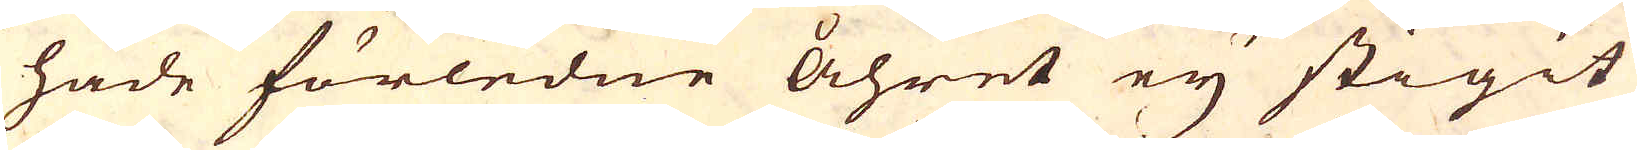hade förledne åhret ey stigit
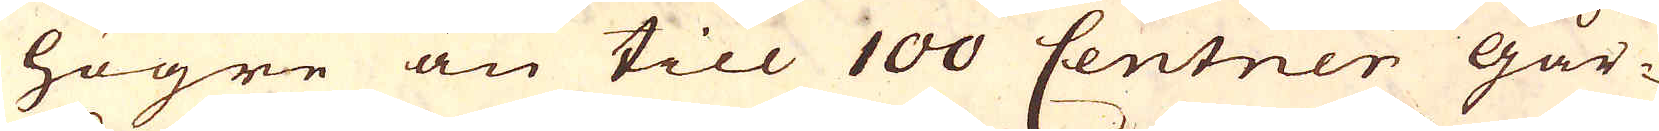högre än till 100 Centner går-
